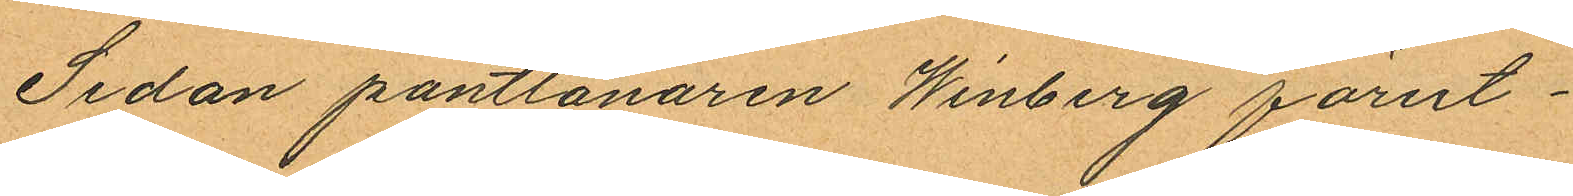Sedan pantlånaren Winberg förut¬
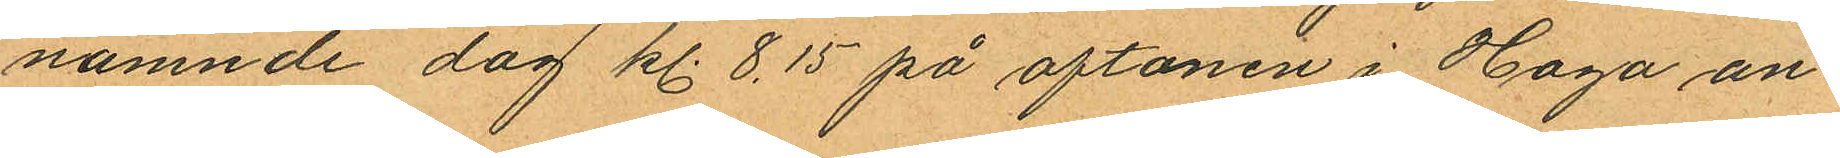nämnde dag kl. 8.15 på aftonen i Haga an¬
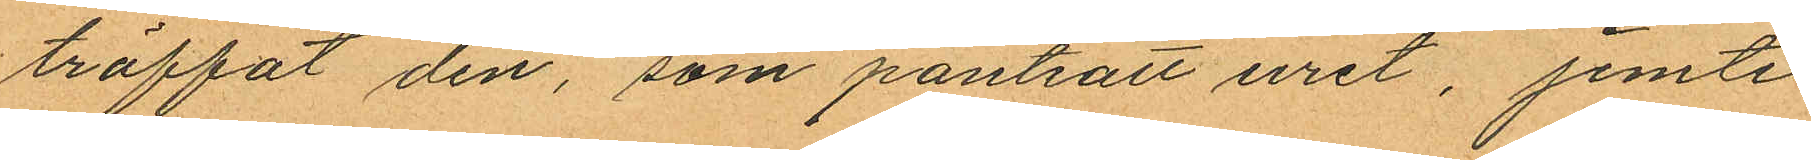träffat den, som pantsatt uret, jemte
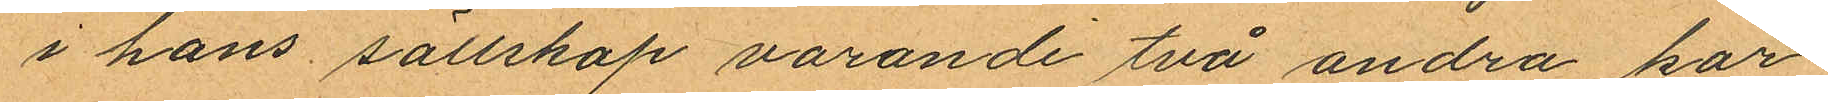i hans sällskap varande två andra kar¬
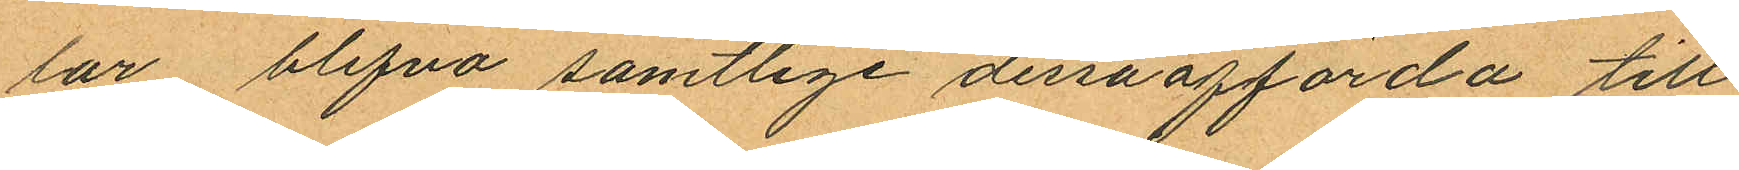lar, blifva samtlige dessa afförda till
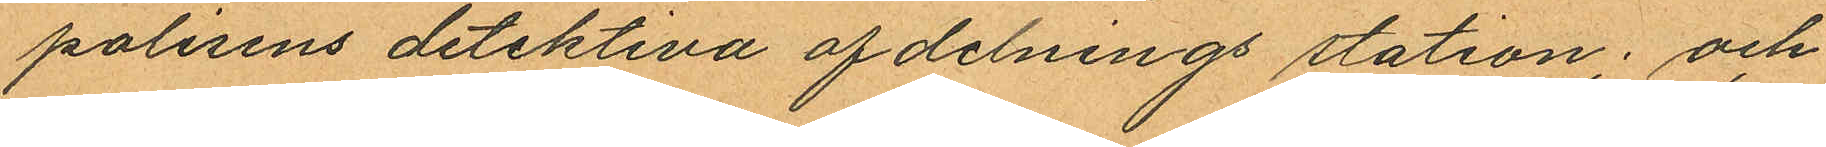polisens detektiva afdelnings station; och
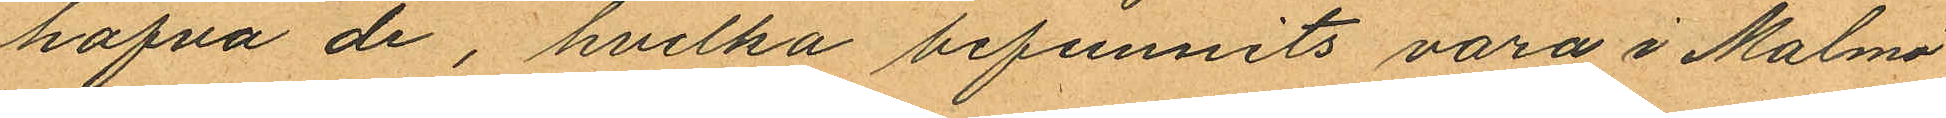hafva de, hvilka befunnits vara i Malmö
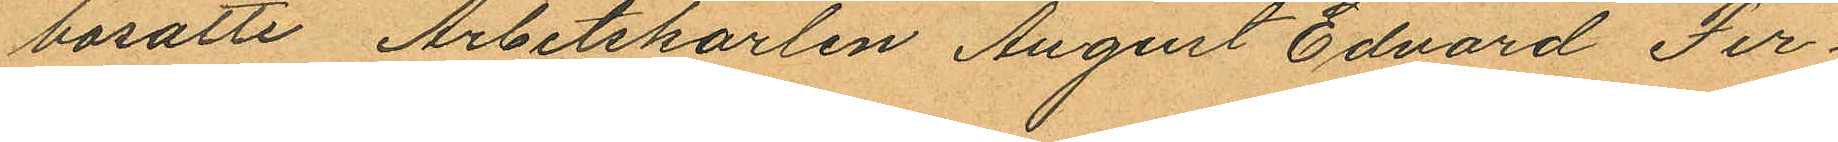bosatte Arbetskarlen August Edvard Fer¬
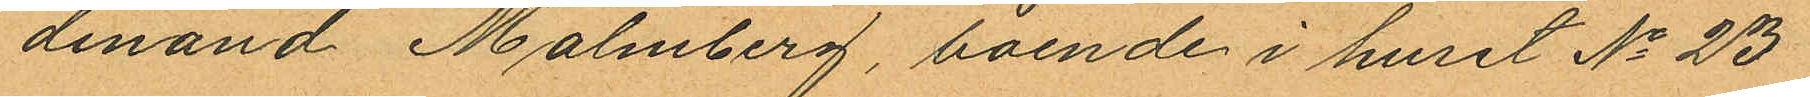dinand Malmberg, boende i huset No 23
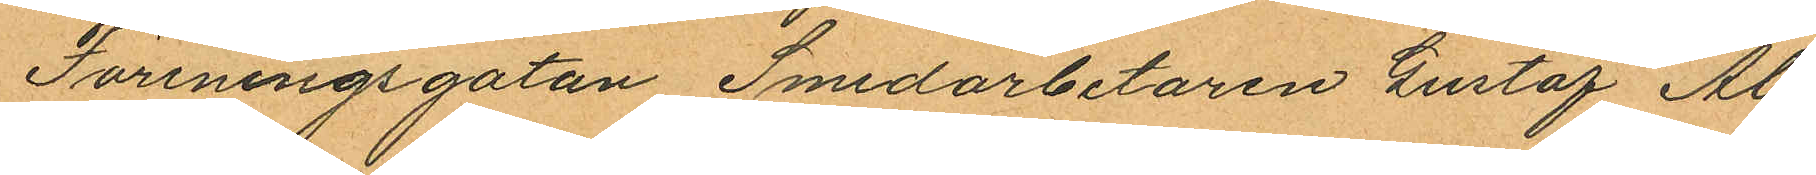Föreningsgatan Smedarbetaren Gustaf Al¬
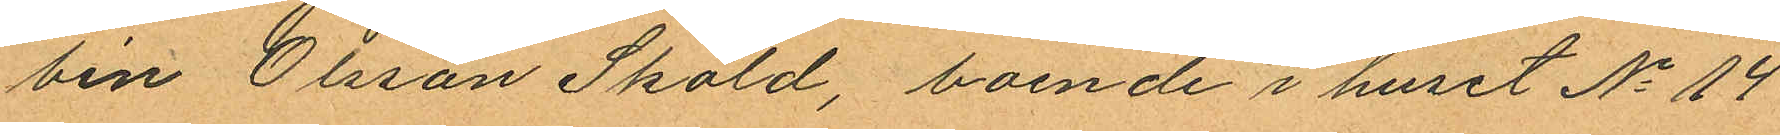bin Olsson Sköld, boende i huset No 14
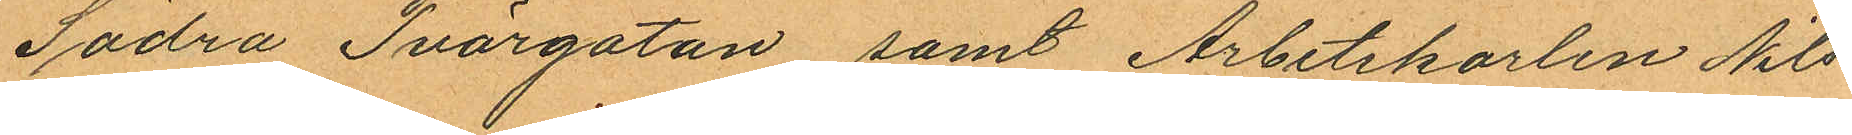Södra Tvärgatan, samt Arbetskarlen Nils
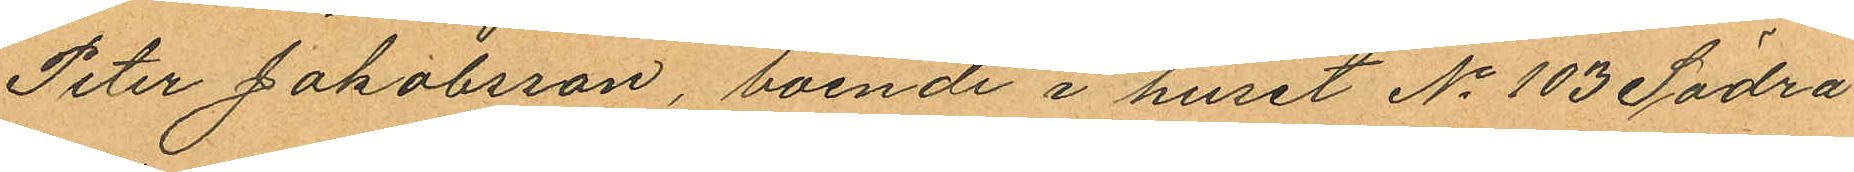Peter Jakobsson, boende i huset No 103 Södra
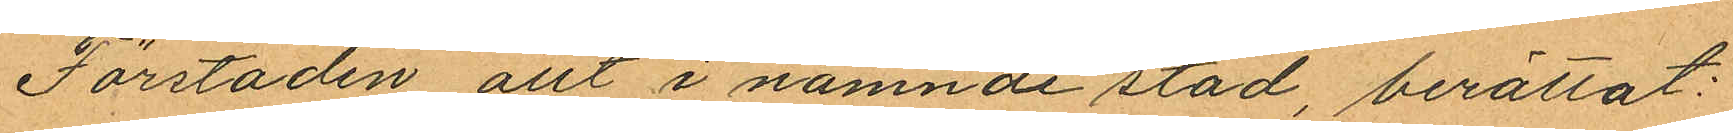Förstaden allt i nämnde stad, berättat:
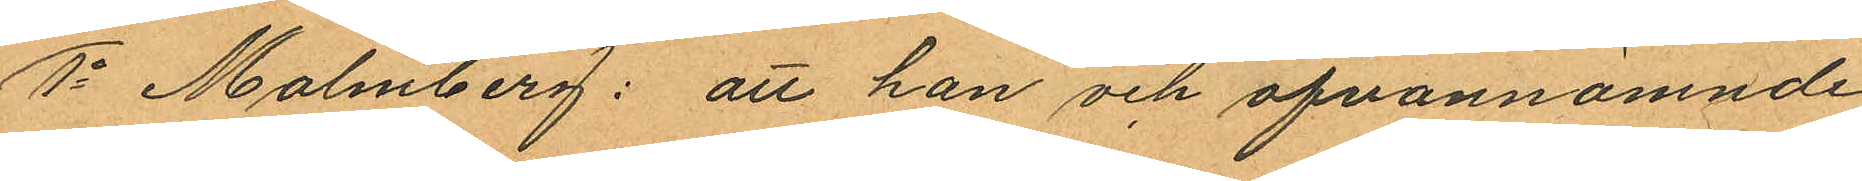1o Malmberg: att han och ofvannämnde
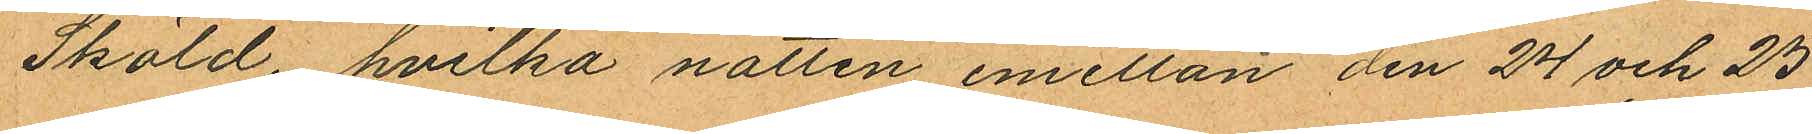Sköld, hvilka natten emellan den 24 och 25
